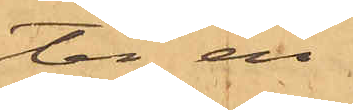ter en
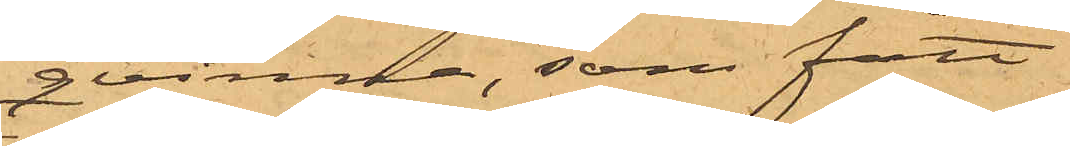qvinna, som fått
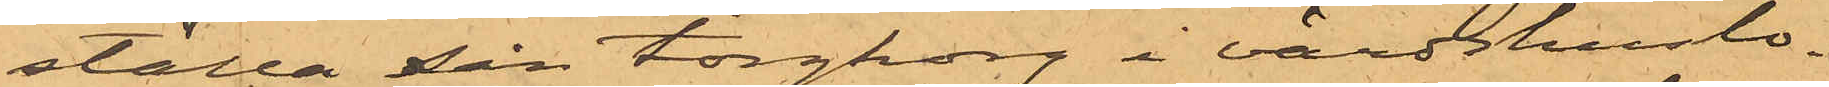ställa sin torgkorg i värdshuslo¬
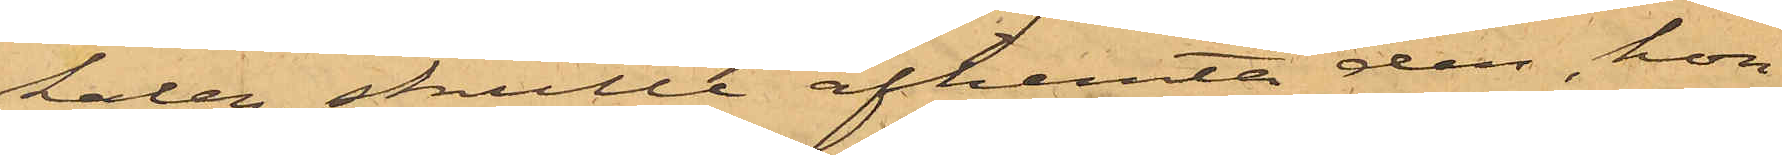kalen, skulle afhemta den, hon
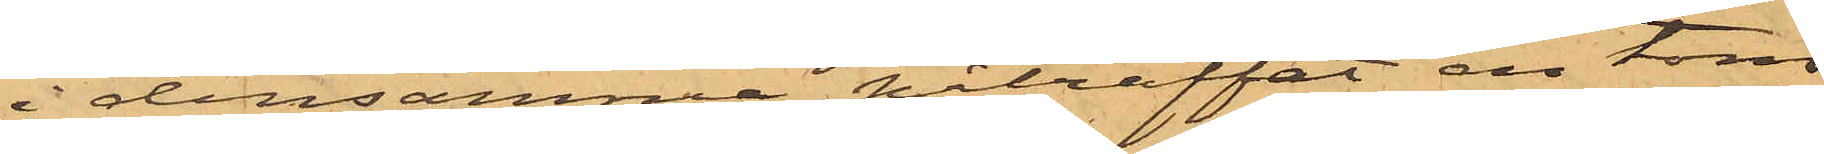i densamma påträffat en tom
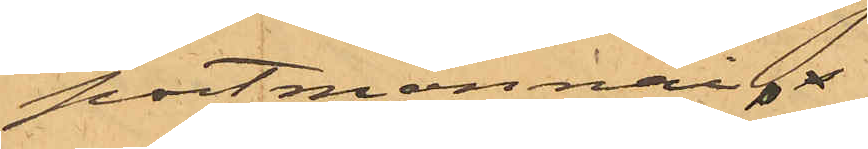portmonnai.
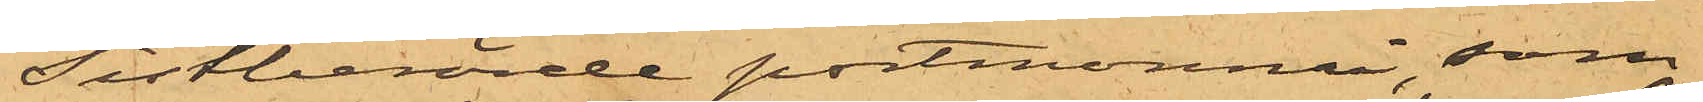Sistberörde portmonnai, som
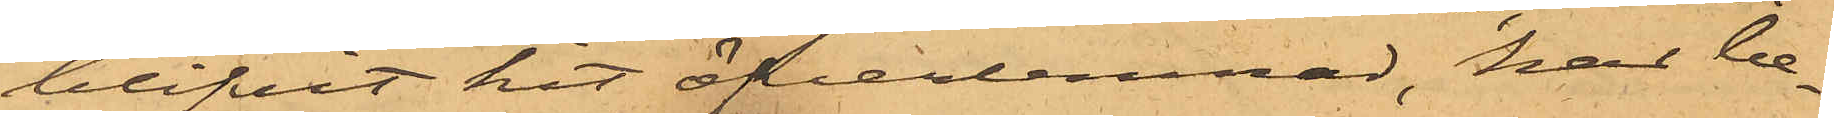blifvit hit öfverlemnad, har be¬
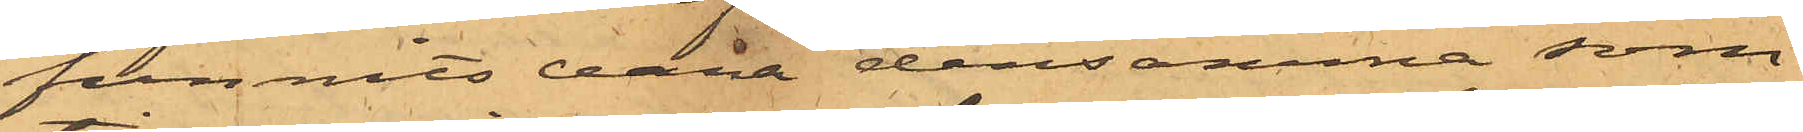funnits vara densamma, som
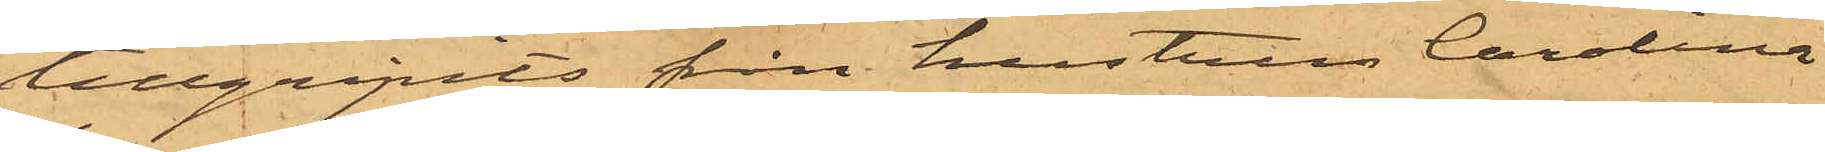tillgripits från hustrun Carolina
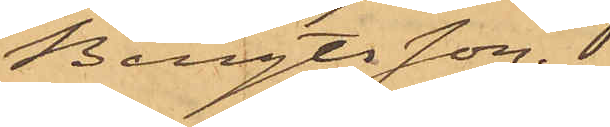Bengtsson.
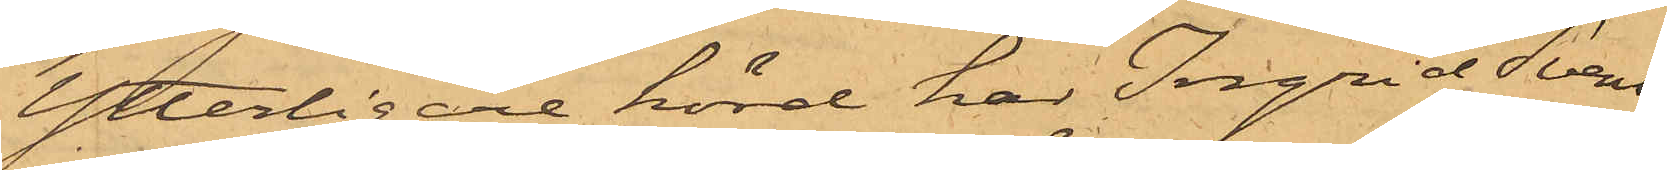Ytterligare hörd har Ingrid Svens¬
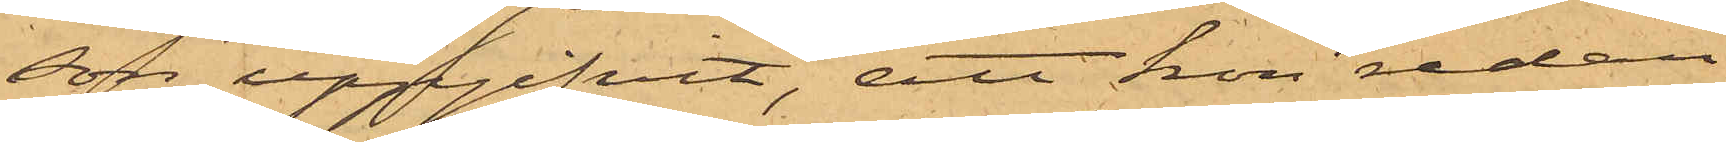son uppgifvit, att hon redan
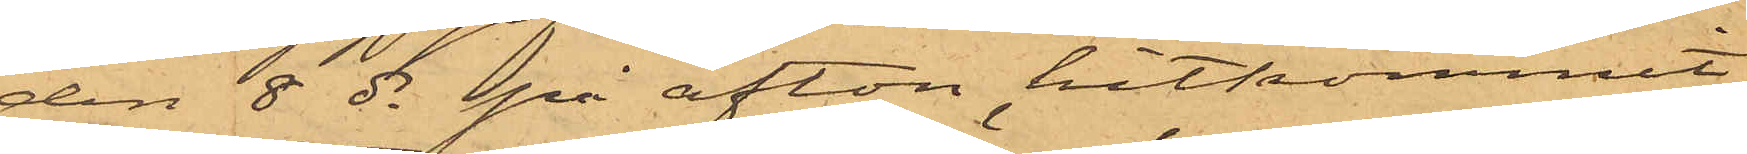den 8 ds på afton hitkommit
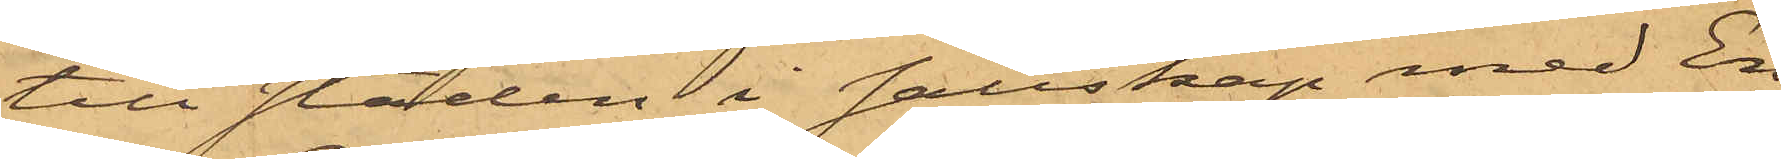till staden i sällskap med En¬
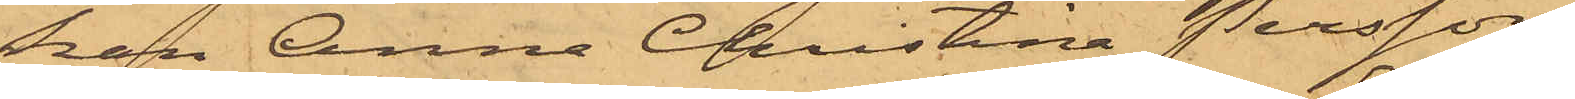kan Anna Christina Persson,
